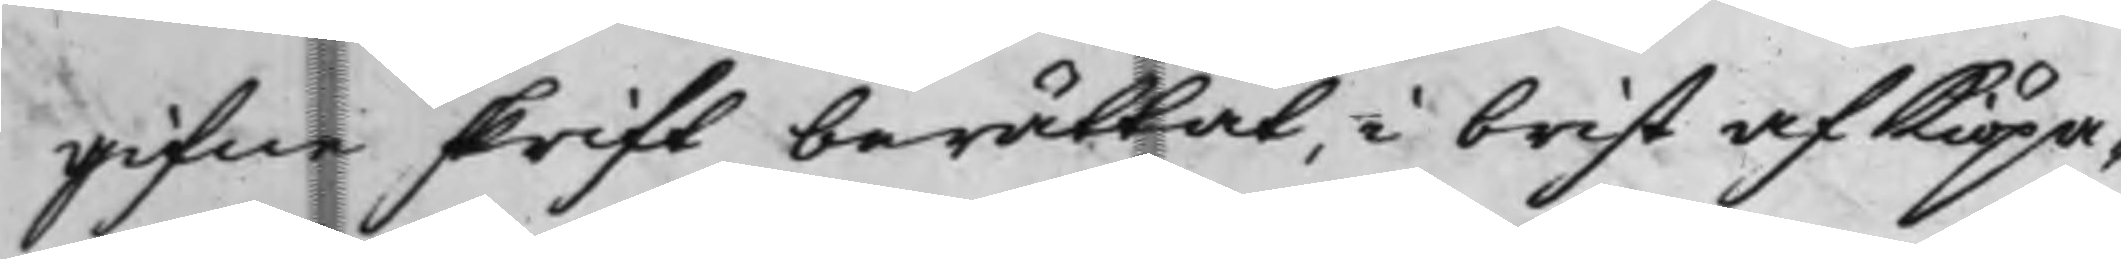gifne skrift berättat, i brist af Kiöpa¬
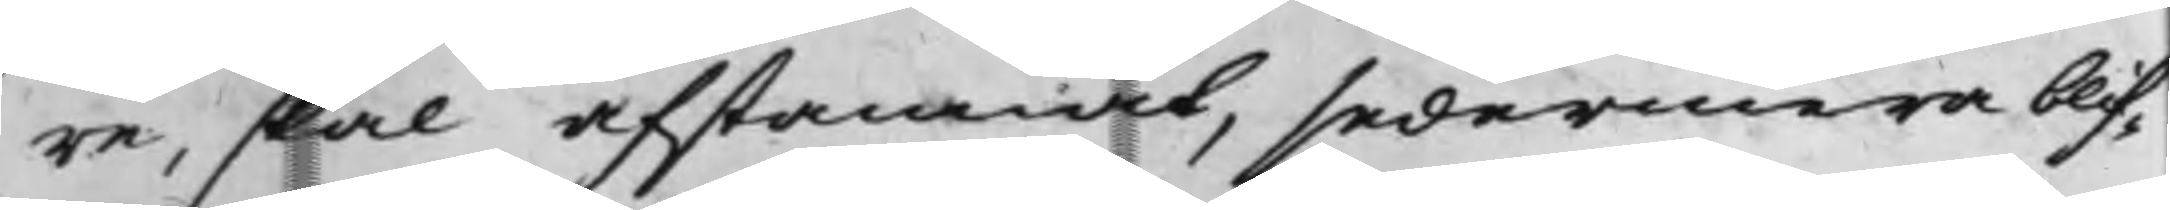re, skal afstannat, sedermera blif¬
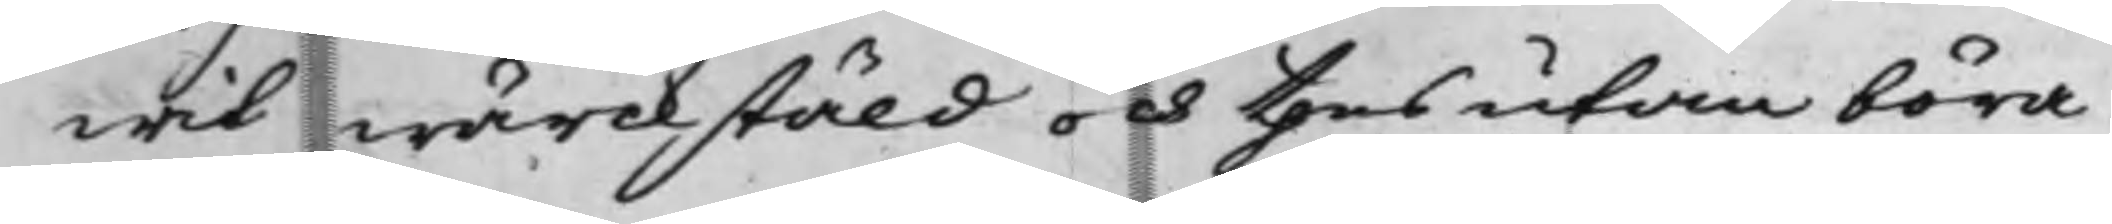wit wärckstäld och thesutan böra
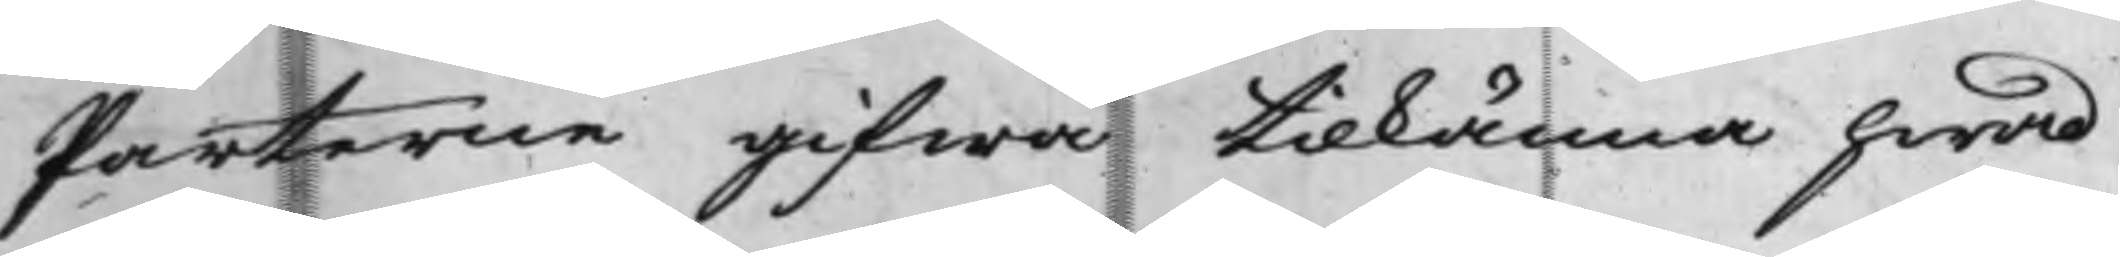Parterne gifwa tilkänna hwad
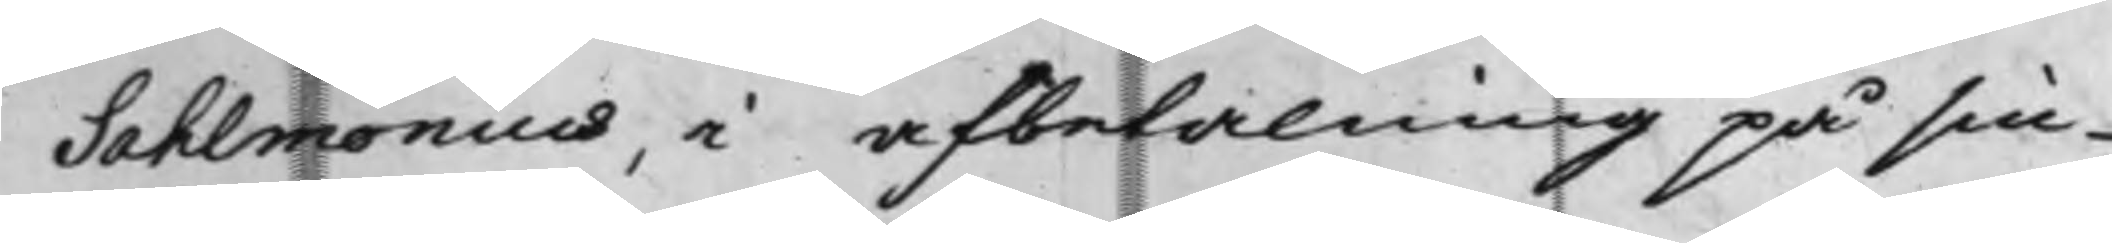Sahlmonius, i afbetalning på sin
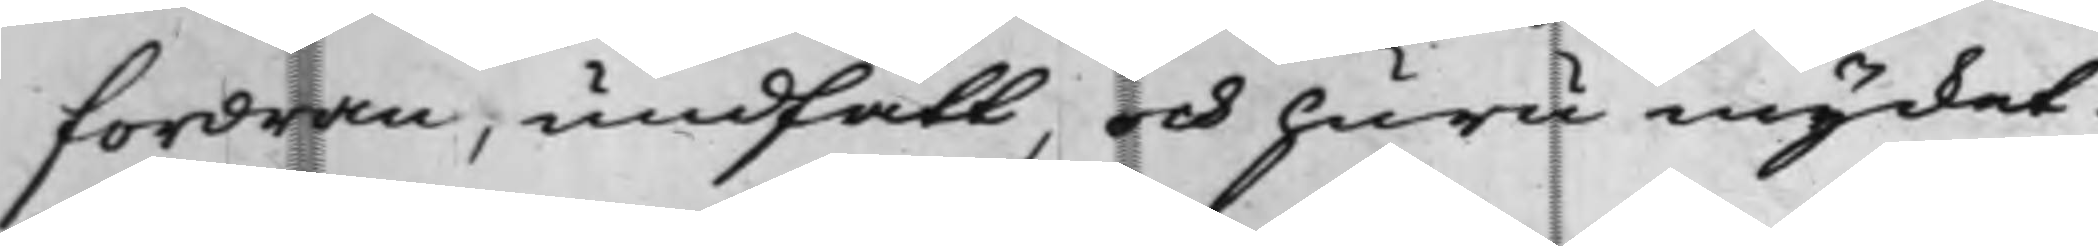fordran, undfått, och huru mycket
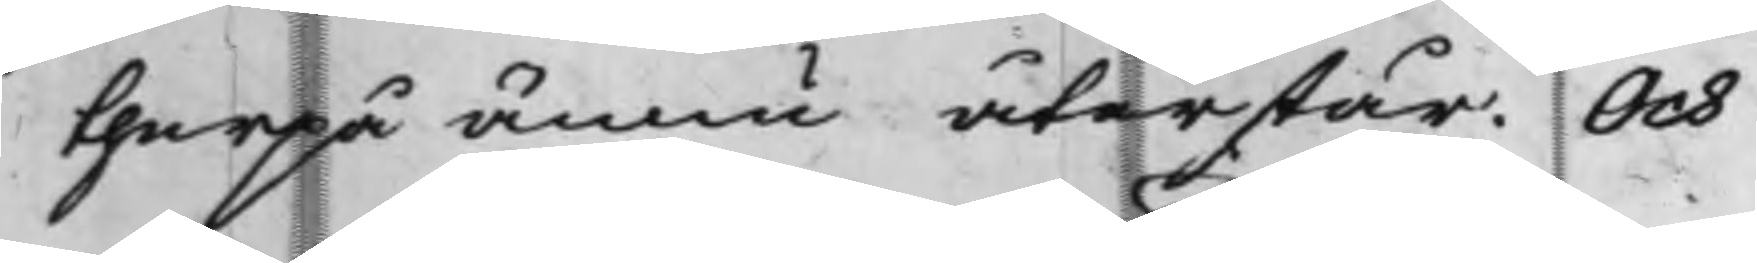therpå ännu återstår. Och
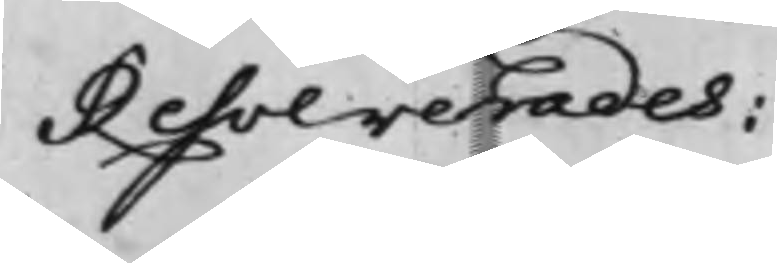Resolverades:
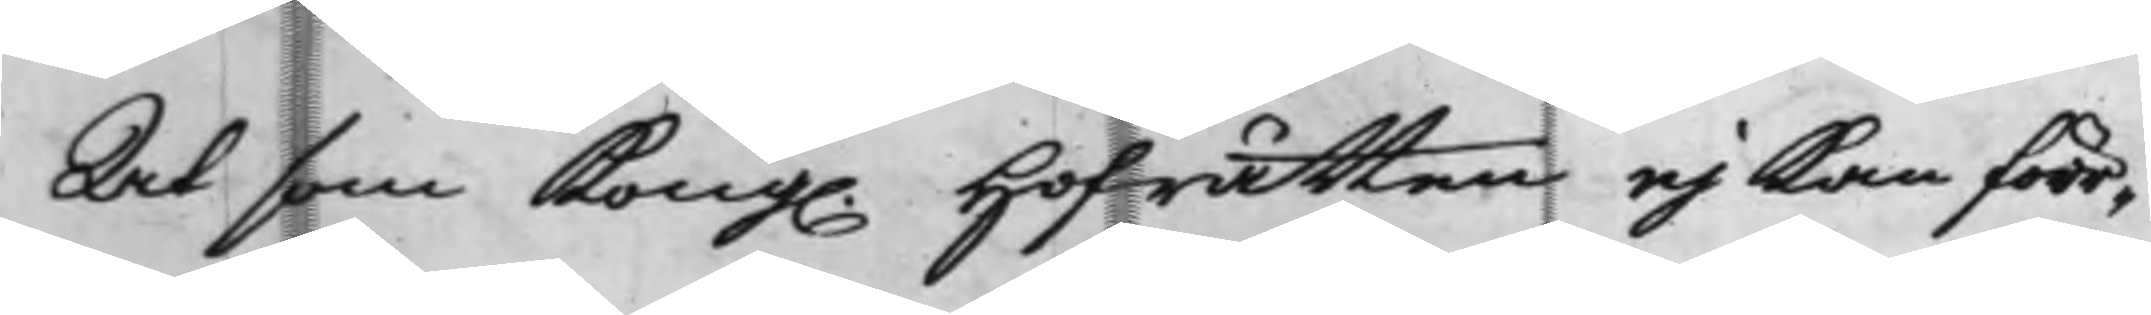At som Kong. Hofrätten ej kan förr¬
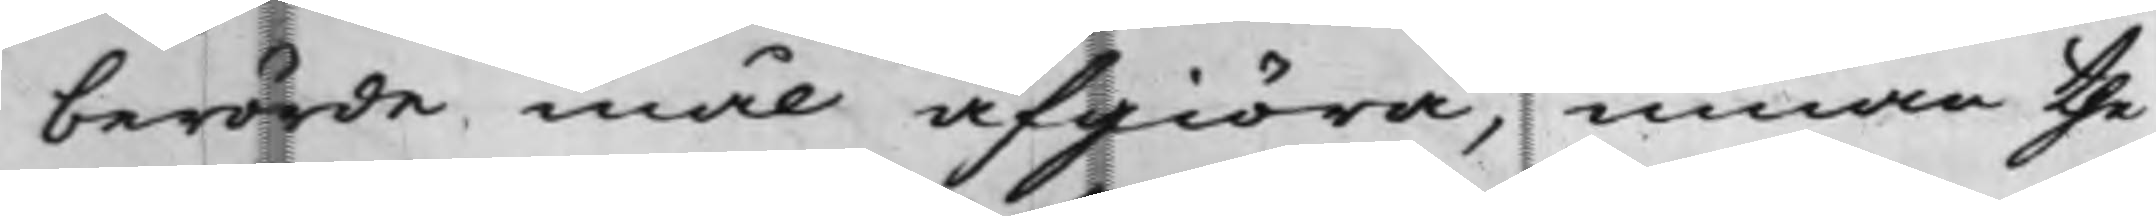berörde mål afgiöra, innan the
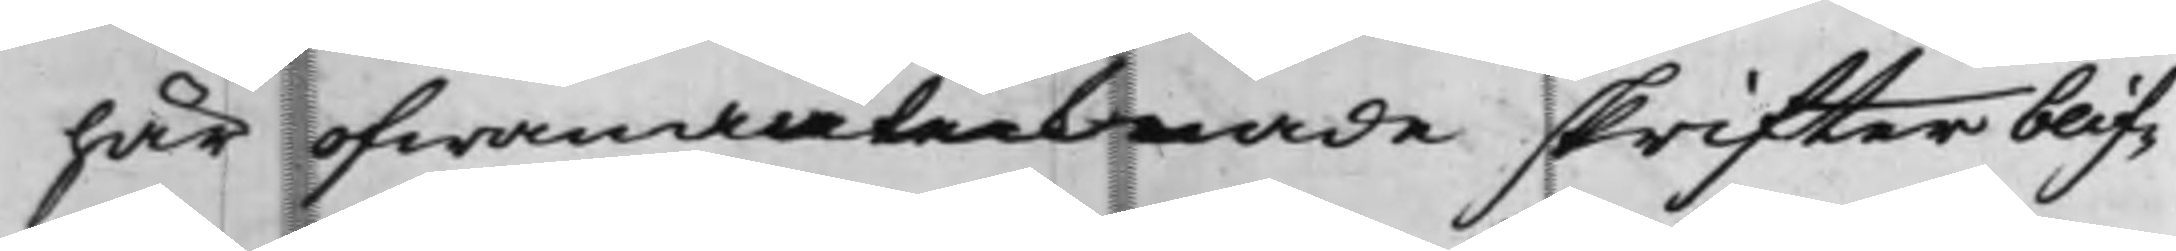här ofwanantecknade skrifter blif¬
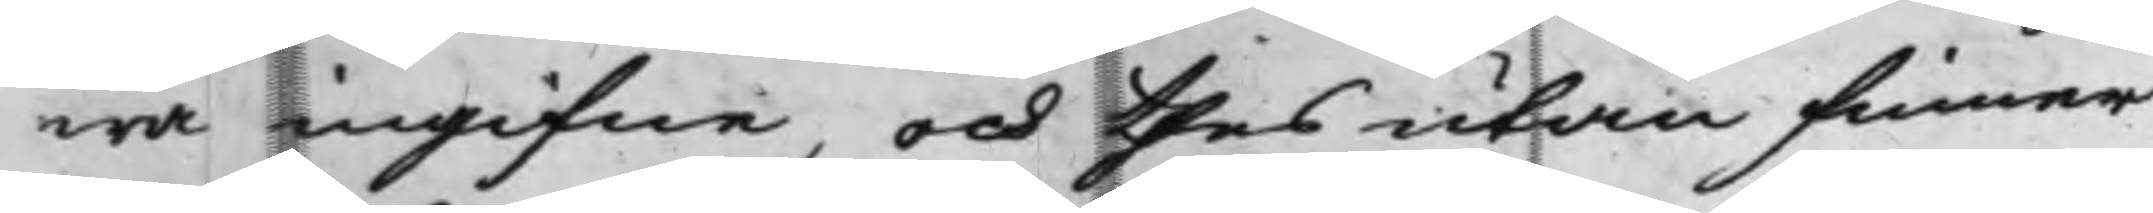wa ingifne, och thes utan finner
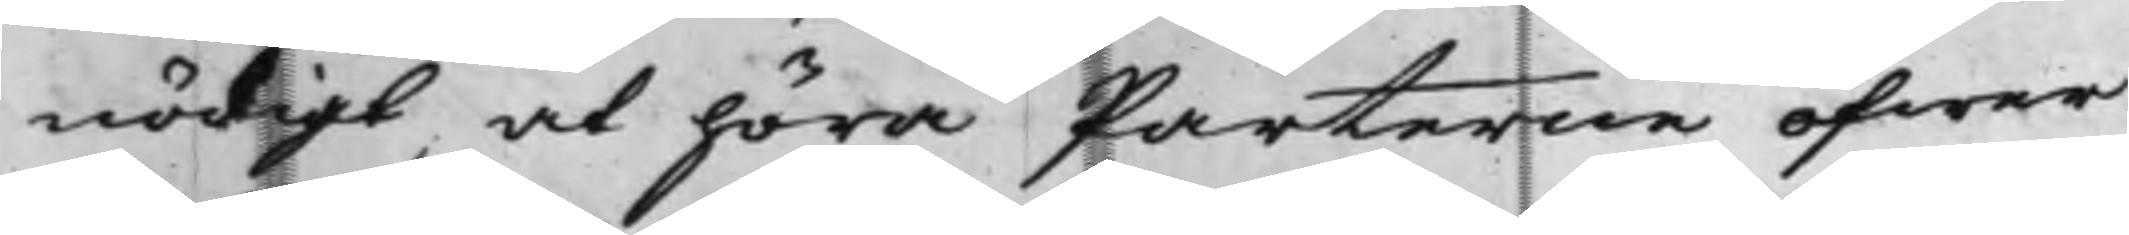nödigt, at höra Parterne öfwer
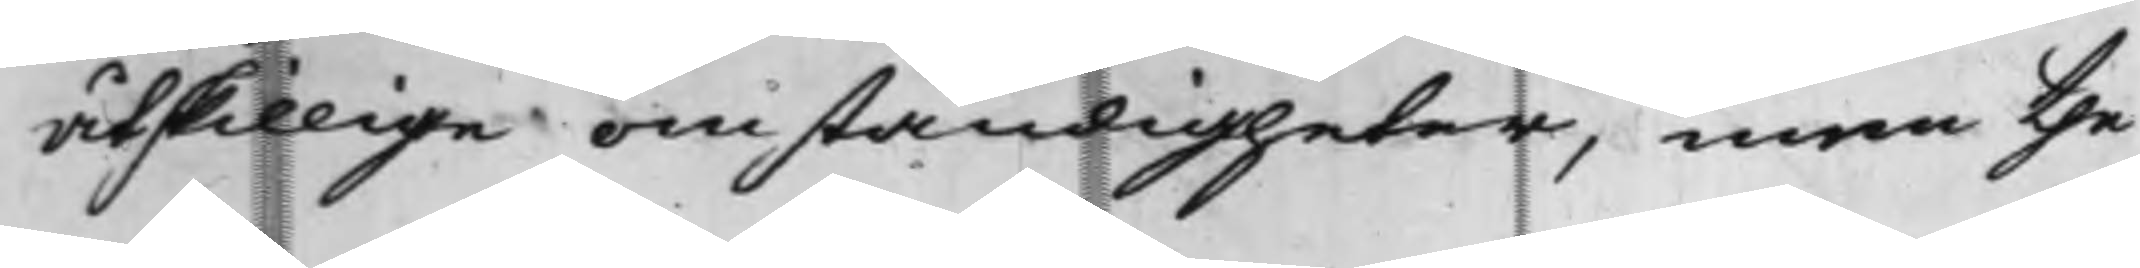åtskillige omständigheter, men the
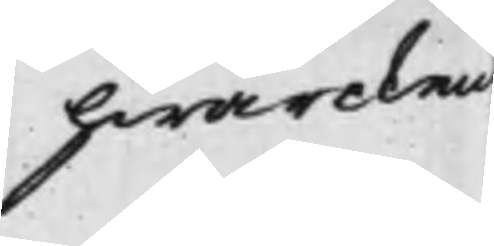hwarcken
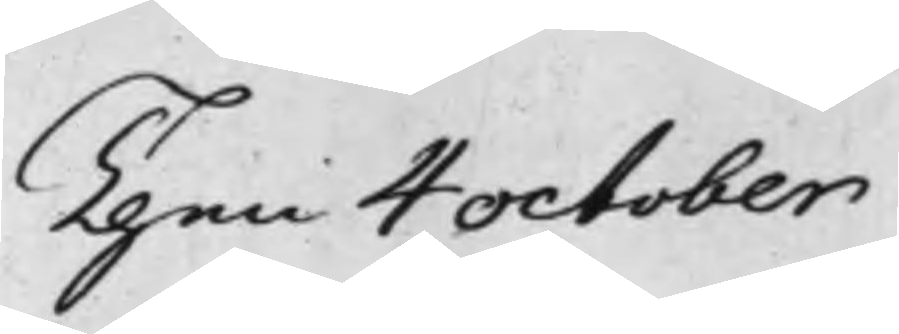Then 4 October
